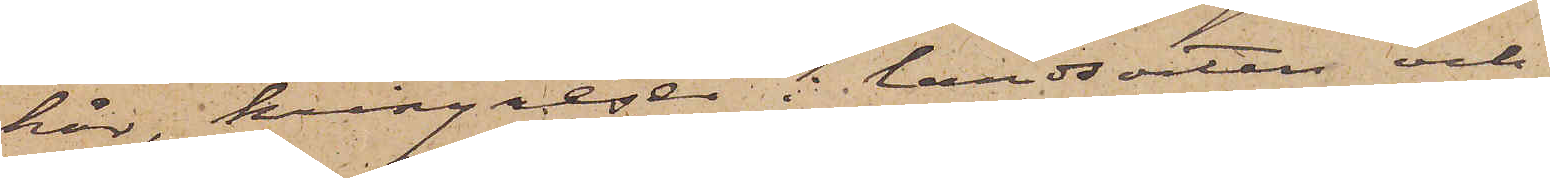hår, kringreser i landsorten och
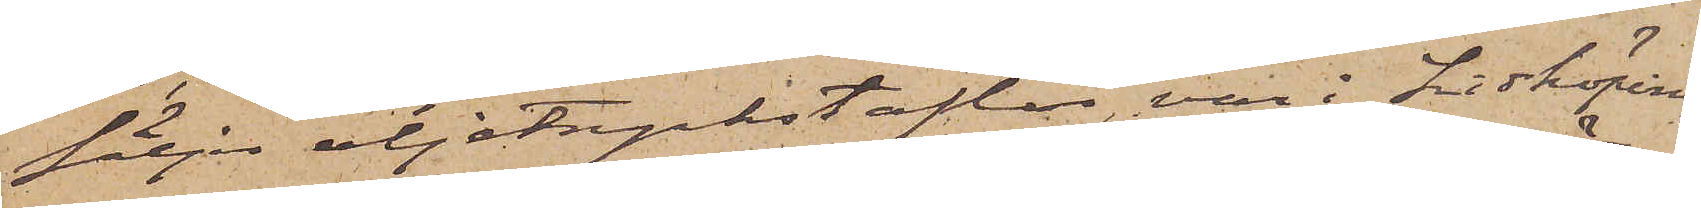säljer oljetryckstaflor, var i Lidköping
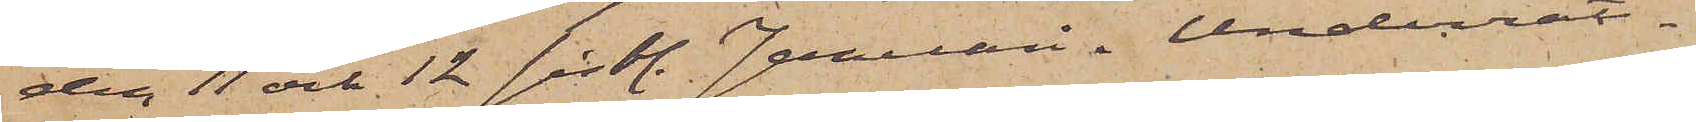den 11 och 12 sistl. Januari. Underrät¬
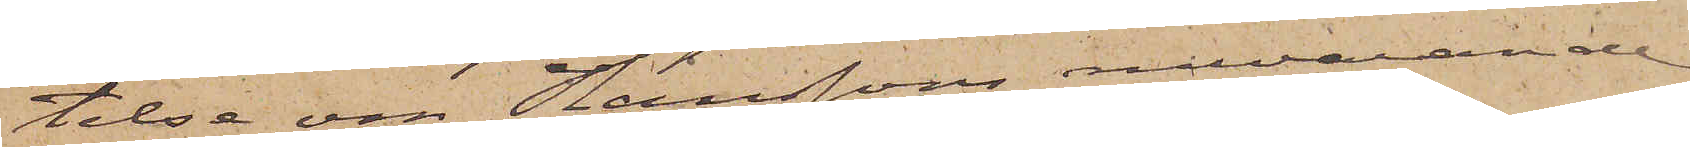telse om Hanssons nuvarande
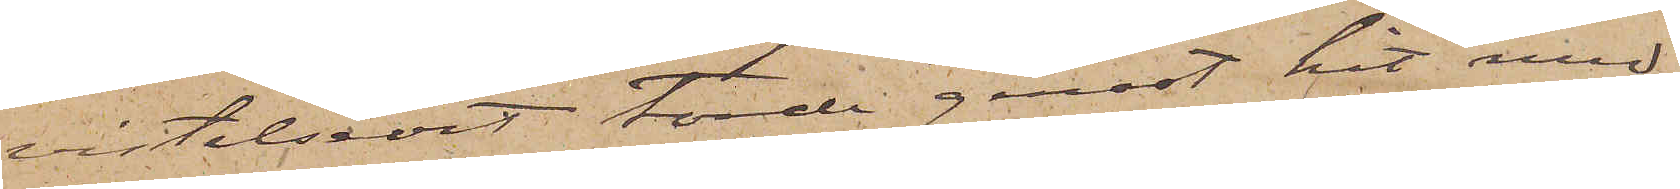vistelseort torde genast hit med¬
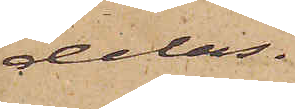delas.
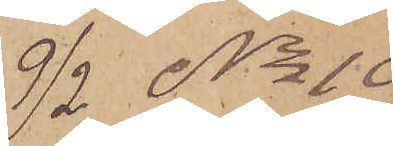9/2 No 10
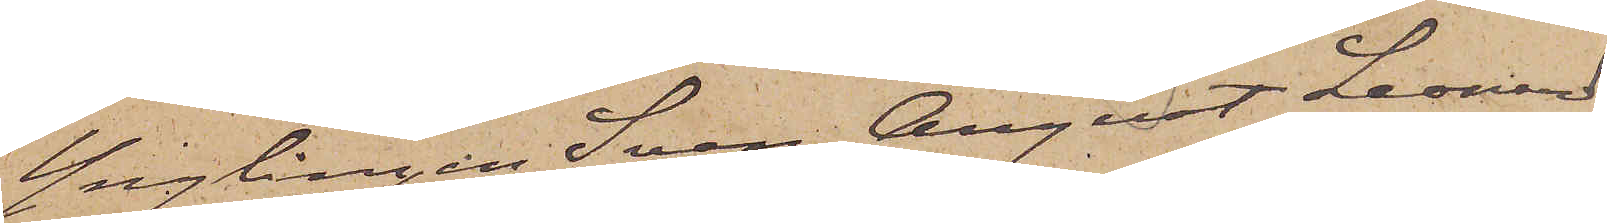Ynglingen Sven August Leonard
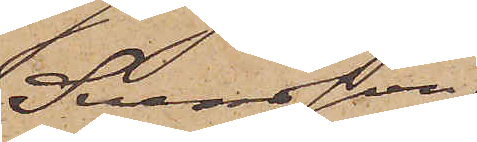Svensson
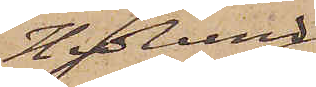Hedlund
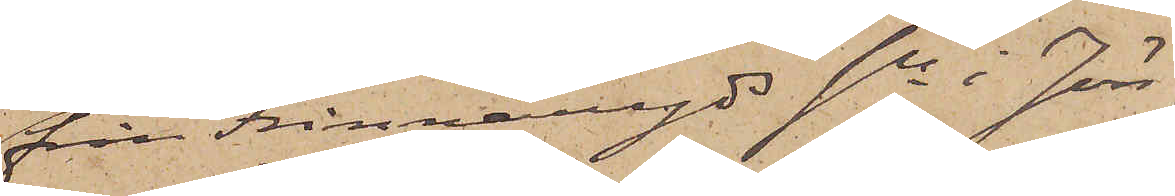från Frinnaryds sn i Jön¬
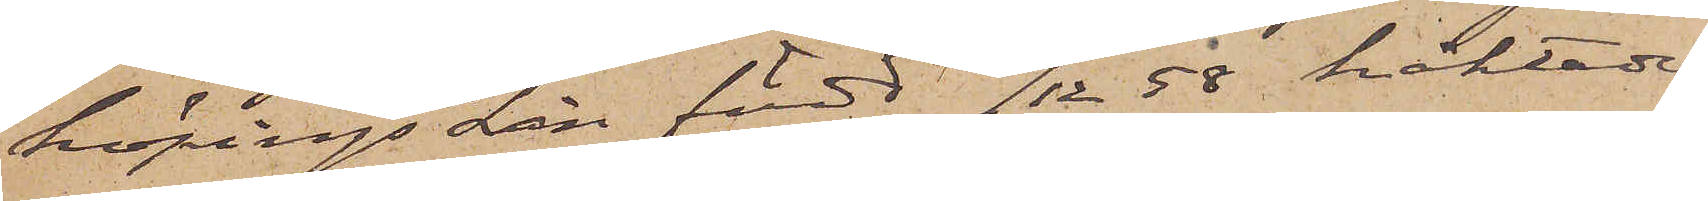köpings Län, född 16/12 58 häktades
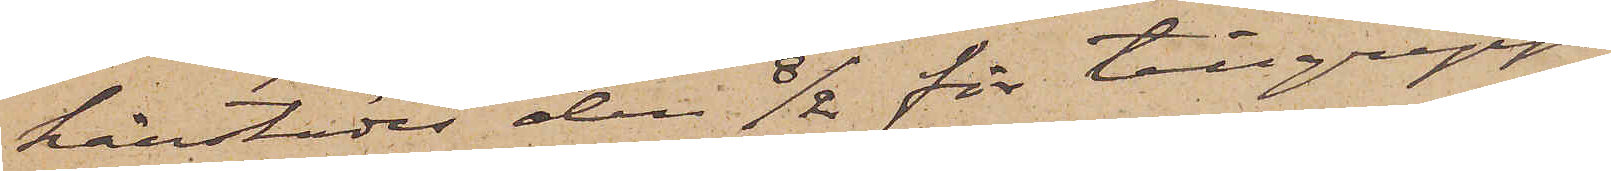härstädes den 8/2 för tillgrepp
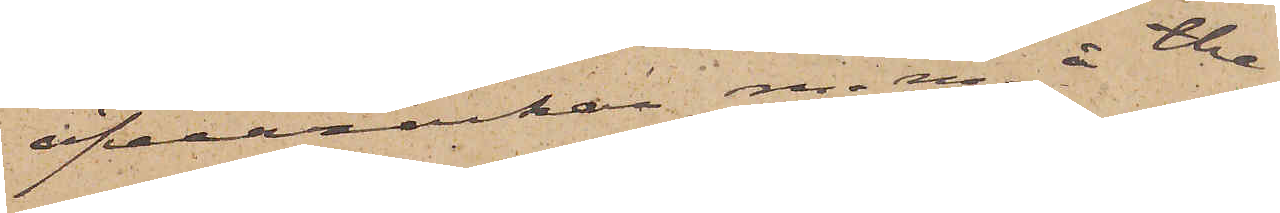öfverrockar m. m. å the¬
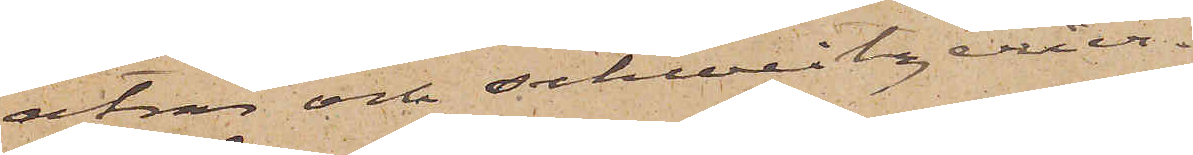atrar och schweitzerier.
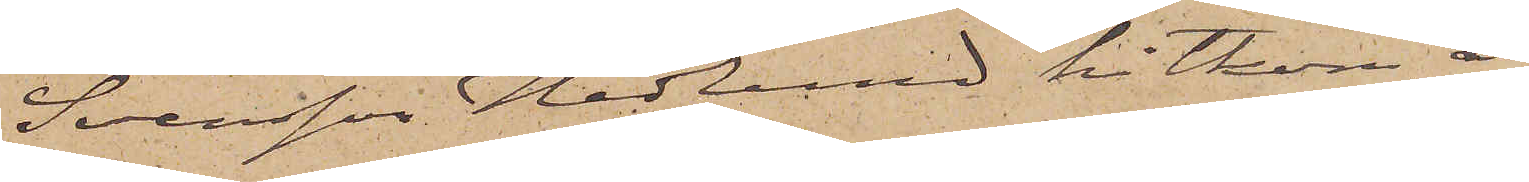Svensson Hedlund hitkom i
